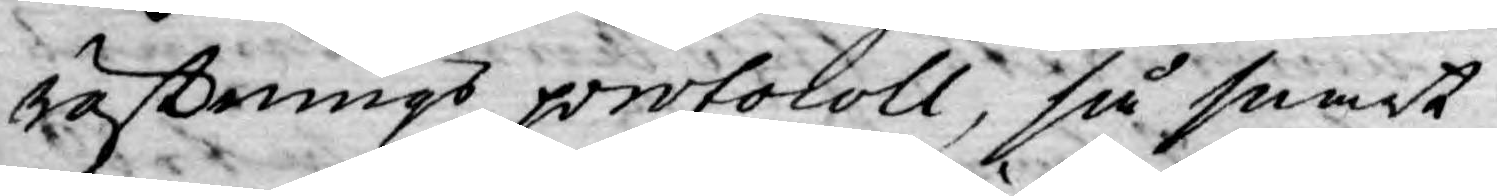röstnings protocoll, så snart
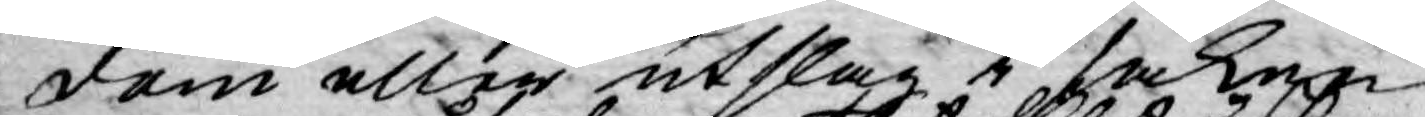dom eller utslag i saken
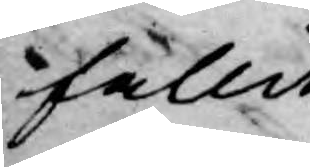fallit
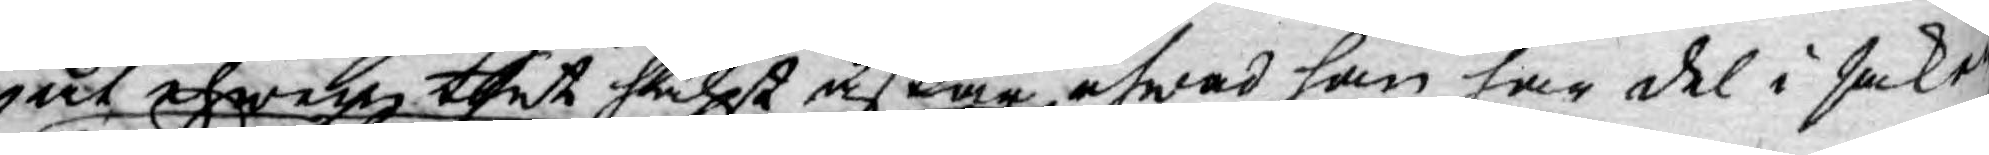ut ehwar thet hälst äskar, ehwad han har del i saken
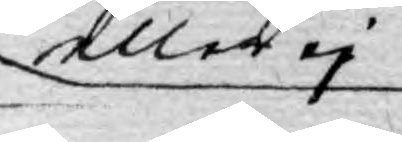eller ej
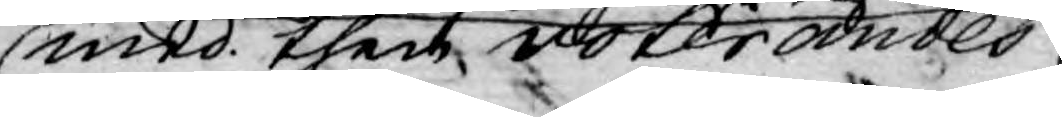med then voterandes
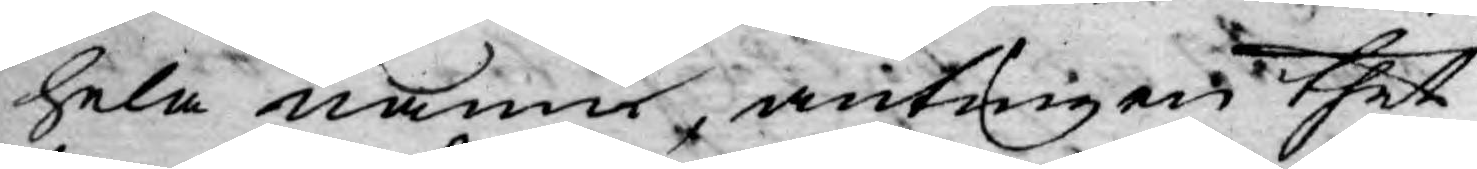hela numer, antingen thet
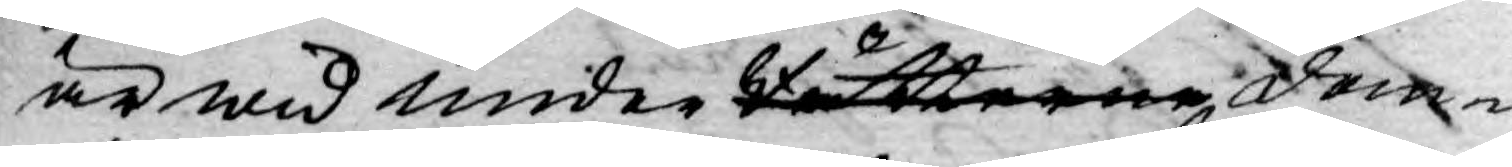är wid under Rätterne, dom¬
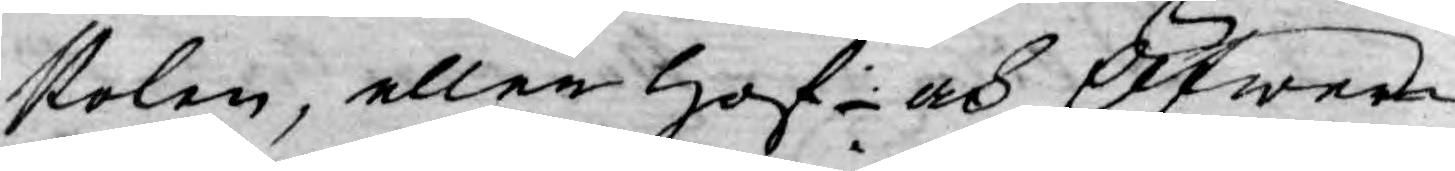stolen, eller Hof- och Öfwer¬
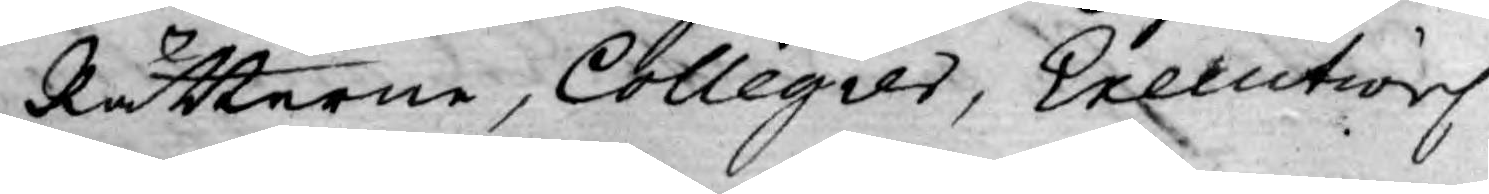Rätterne, Collegier, Executions
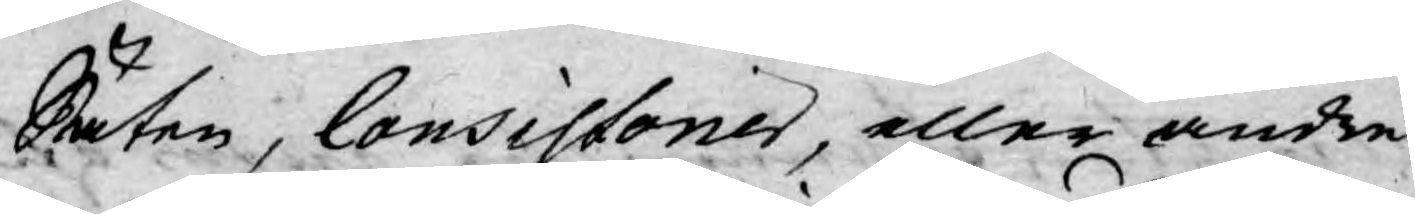Säten, Consistorier, eller andre
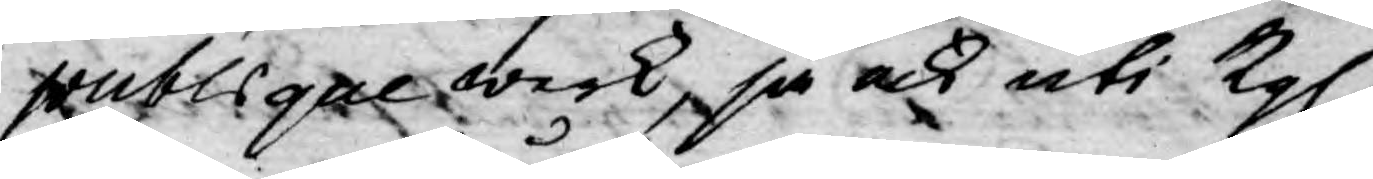publique werk, så ock uti Kgl.
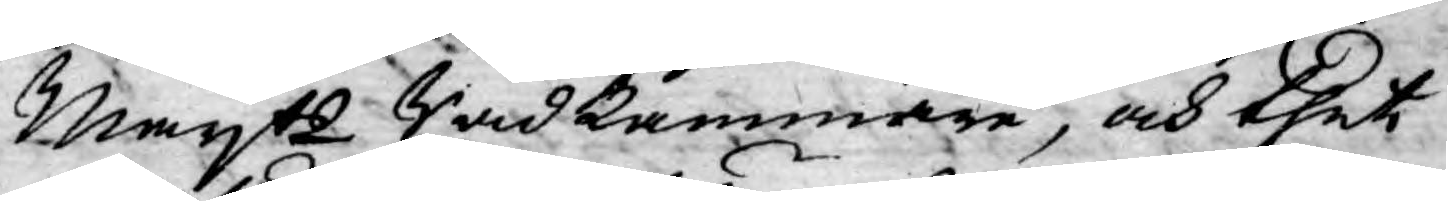Mayts Rådkammare, och thet
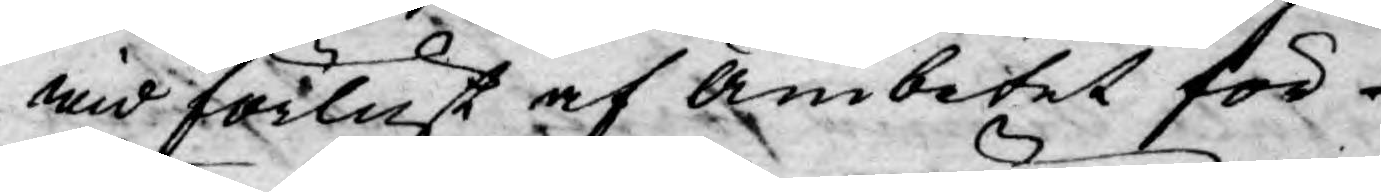wid förlust af Ämbetet för
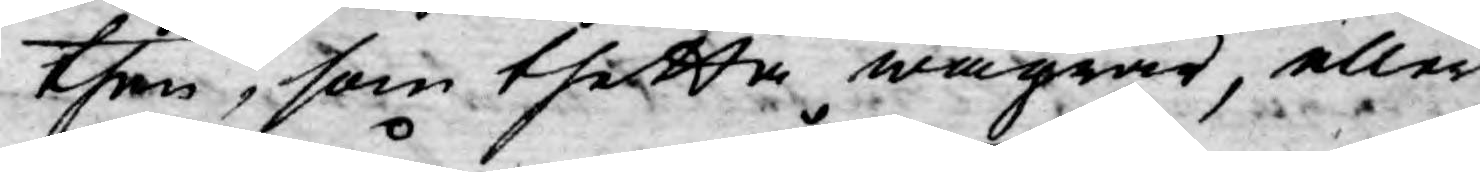then, som thetta wägrar, eller
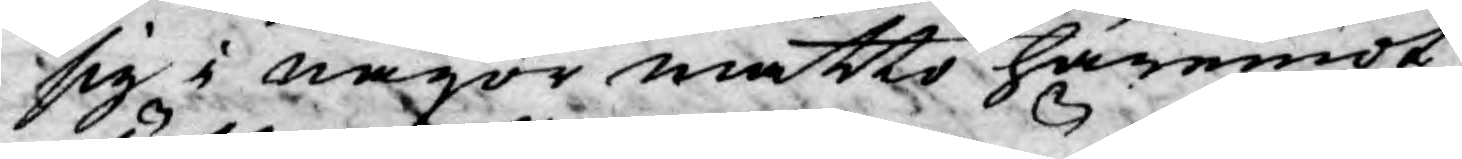sig i någon måtto häremot
